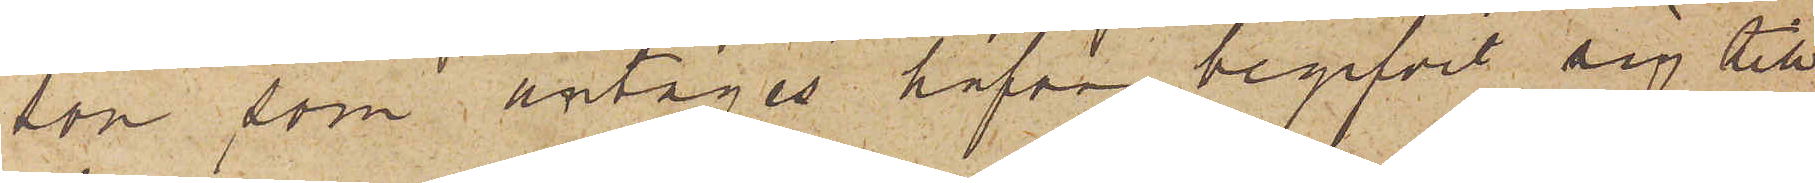son, som antages hafva begifvit sig till
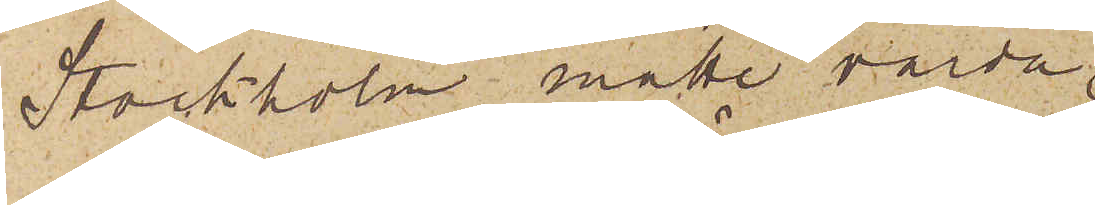Stockholm måtte varda
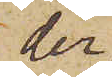der
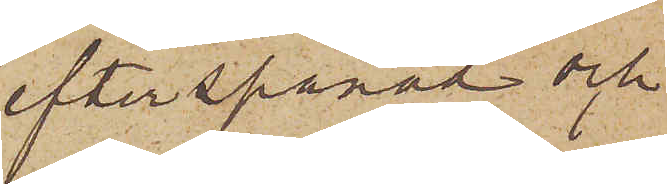efterspanad och
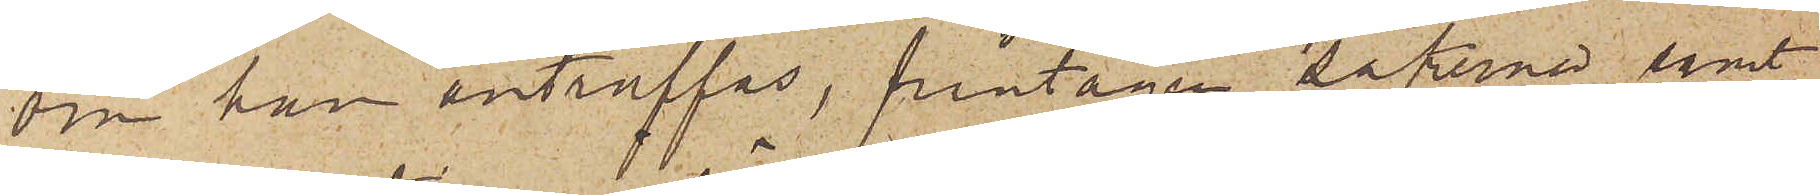om han anträffas, fråntagen sakerna samt
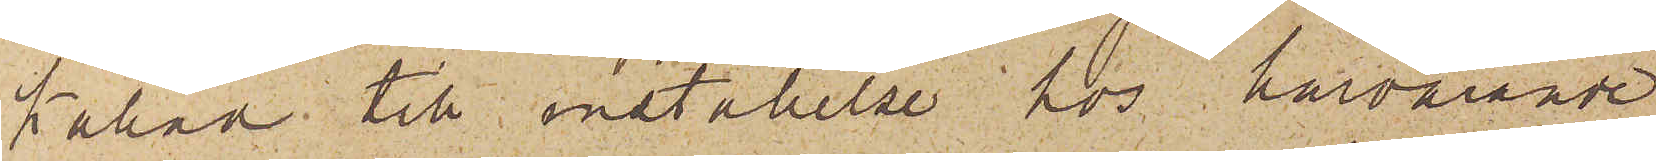kallad till inställelse hos härvarande
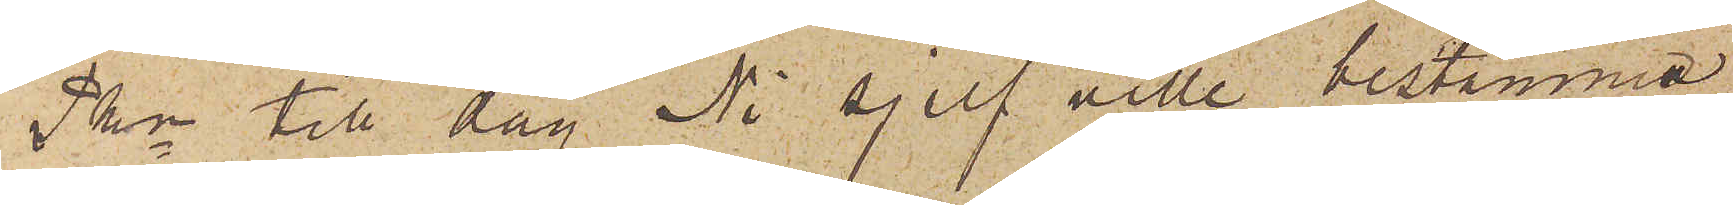Pkn till dag Ni sjelf ville bestämma
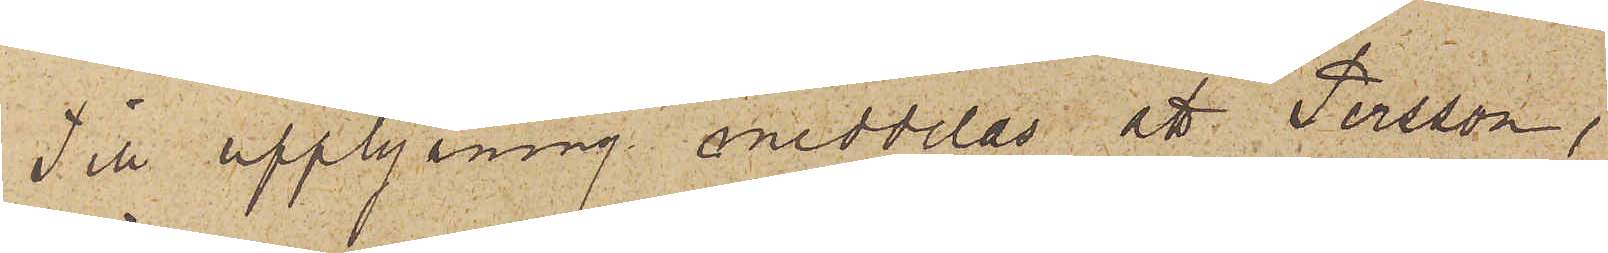Till upplysning meddelas att Persson,
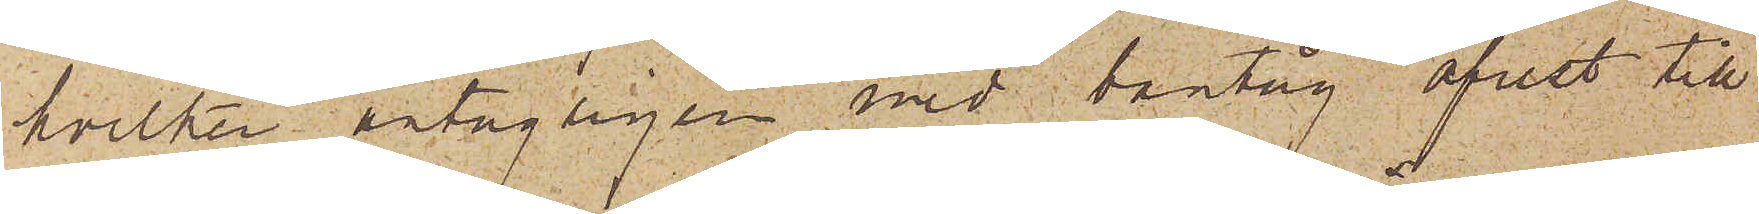hvilken antagligen med bantåg afrest till
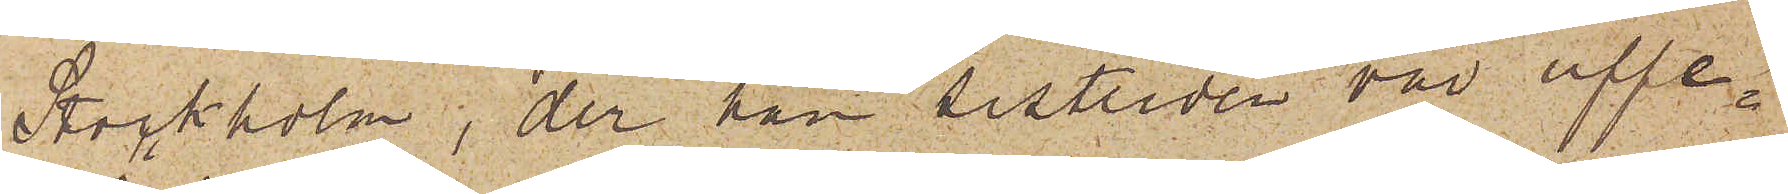Stockholm, der han sistlidne vår uppe¬
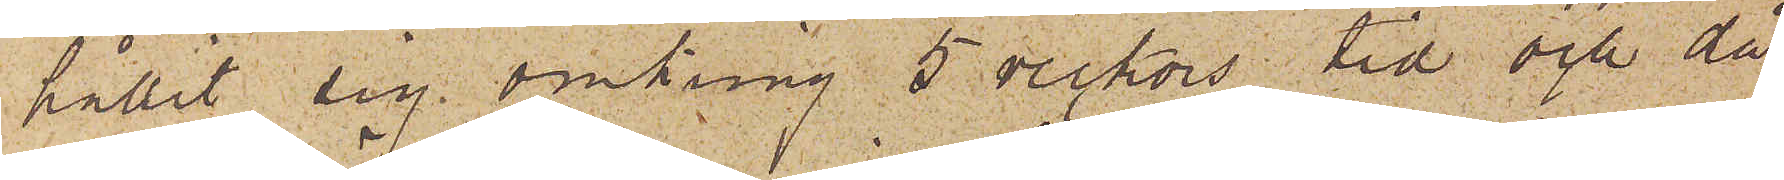hållit sig omkring 5 veckors tid och då
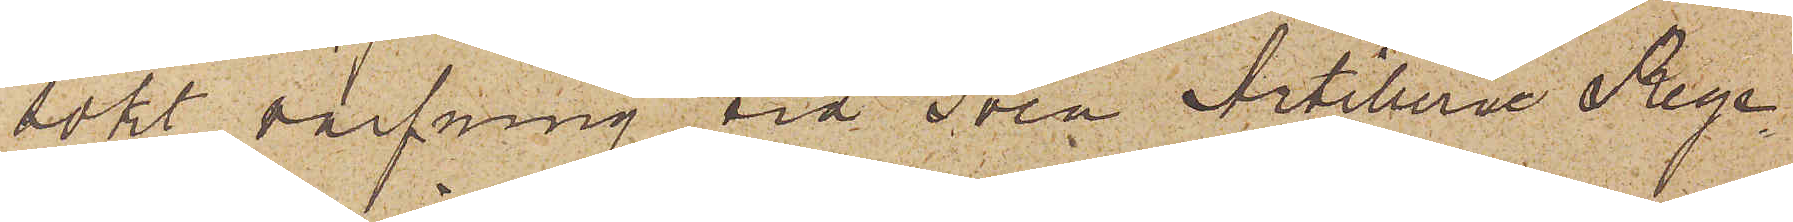sökt värfning vid Svea Artillerie Rege¬
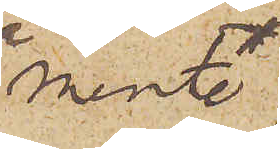mente,
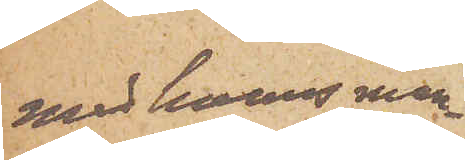med hvars man¬
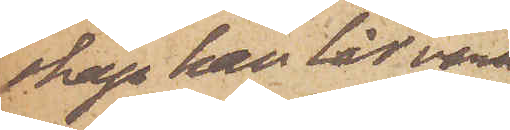skap han lär vara
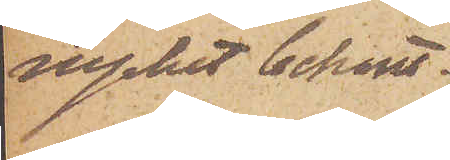mycket bekant,
